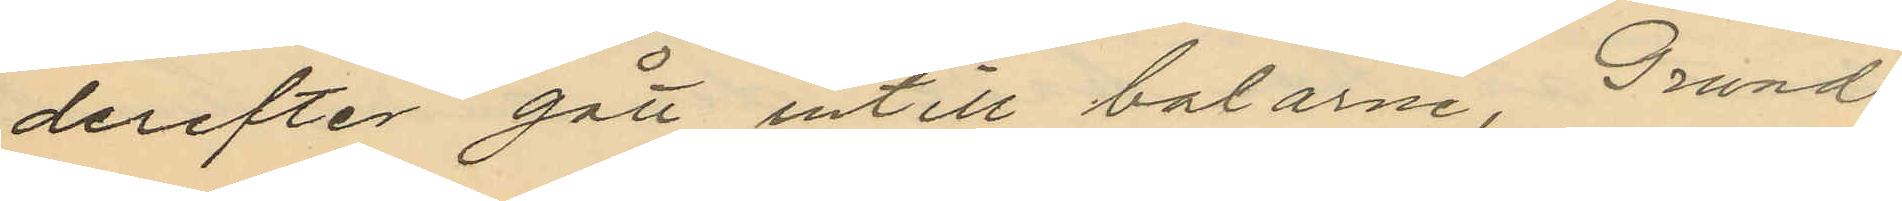derefter gått intill balarne, Grund
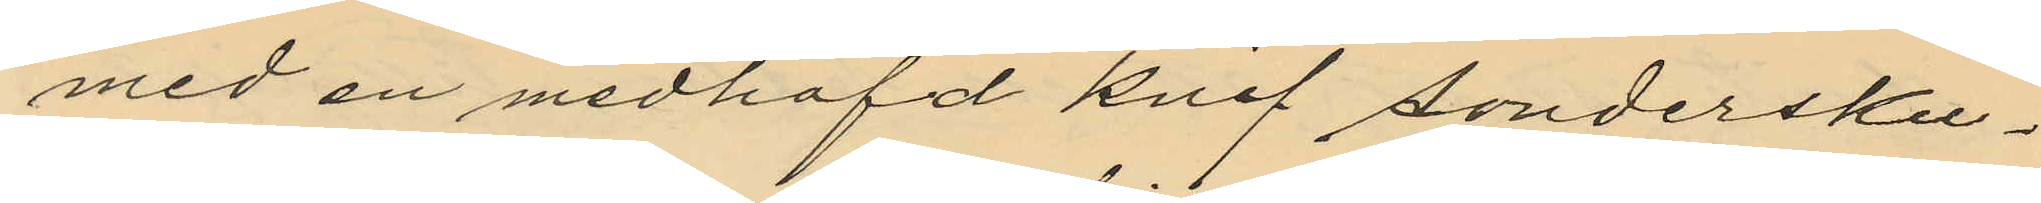med en medhafd knif söndersku¬
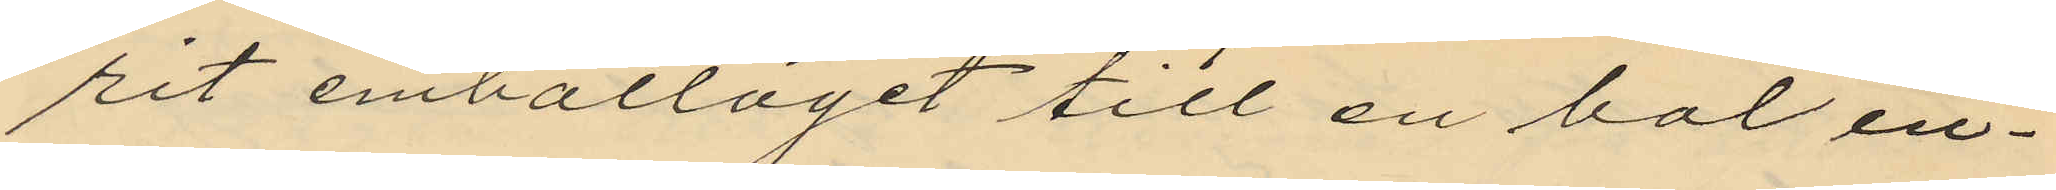pit emballaget till en bal in¬
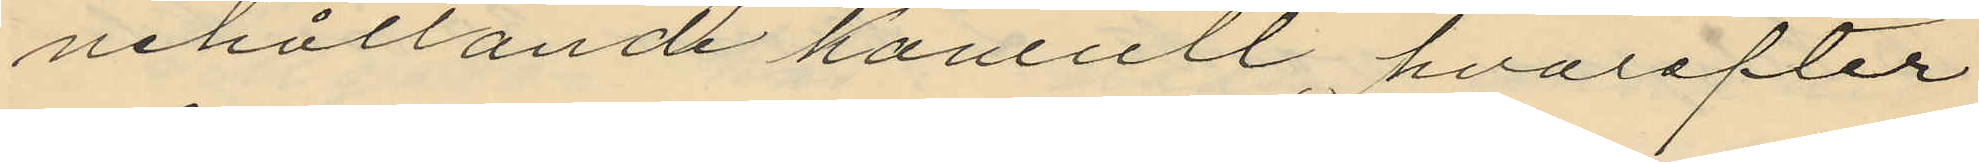nehållande kamull, hvarefter
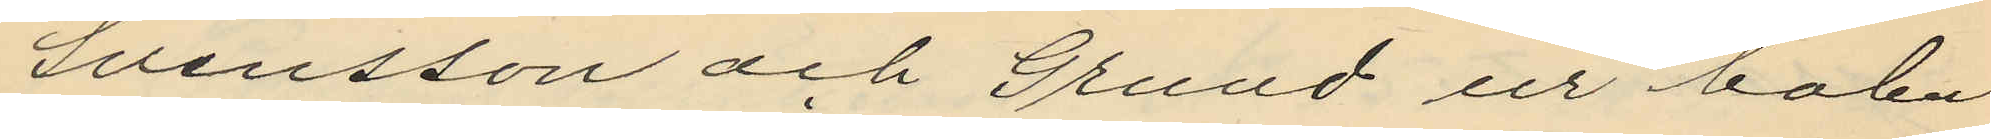Svensson och Grund ur balen
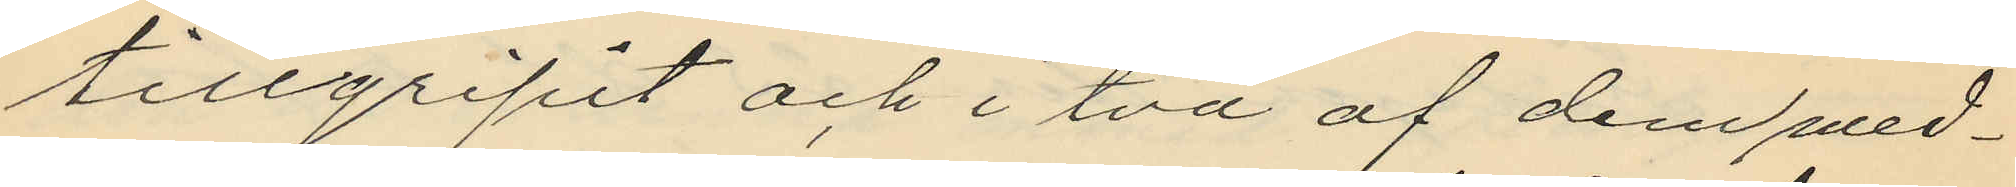tillgripit och i två af dem med¬
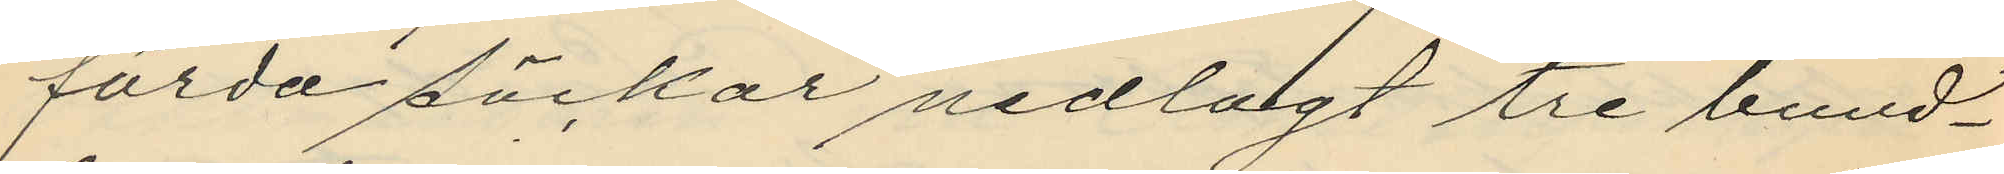förda säckar nedlagt tre bund¬
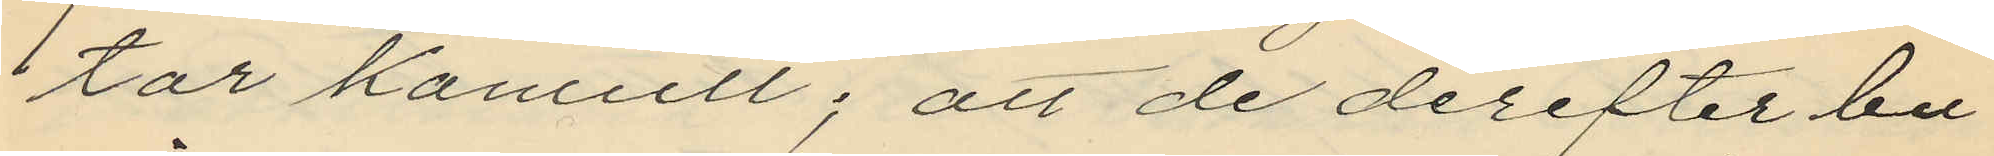tar kamull; att de derefter bu¬
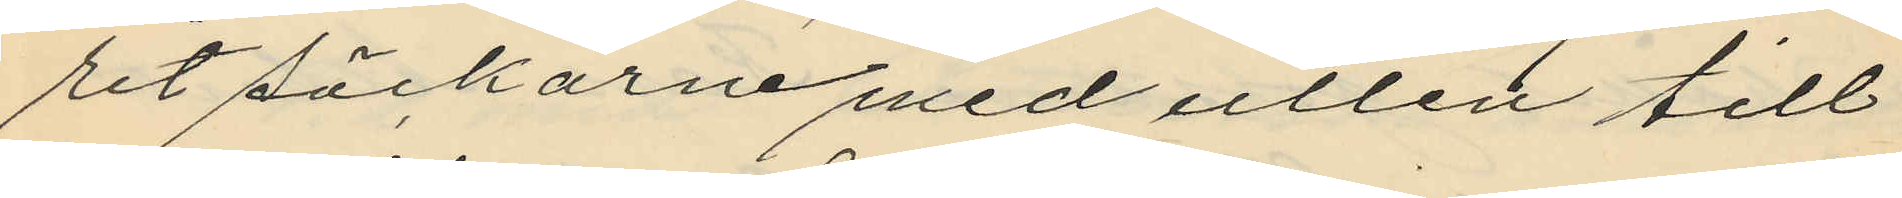ret säckarne med ullen till
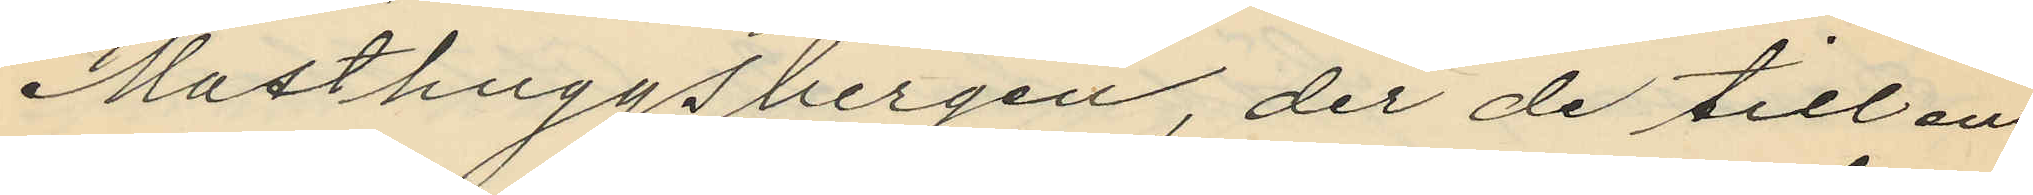Masthuggsbergen, der de till en
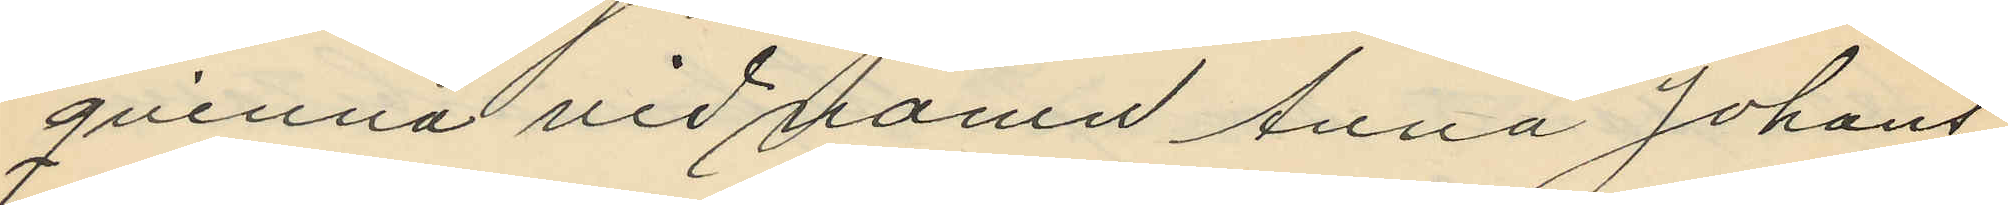qvinna vid namn Anna Johans¬
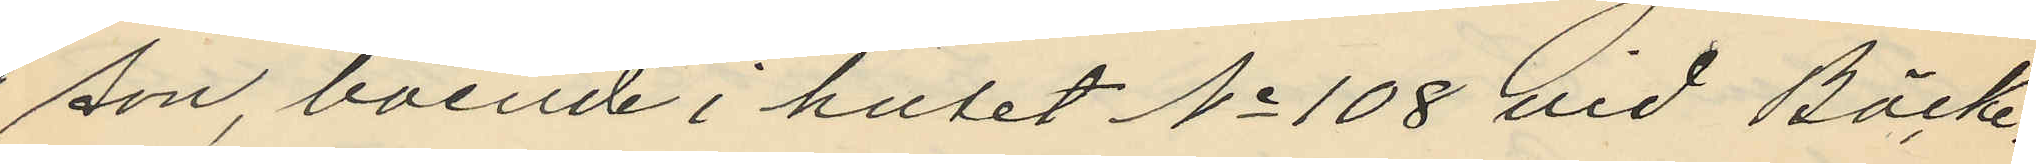son boende i huset No 108 vid Bäck¬
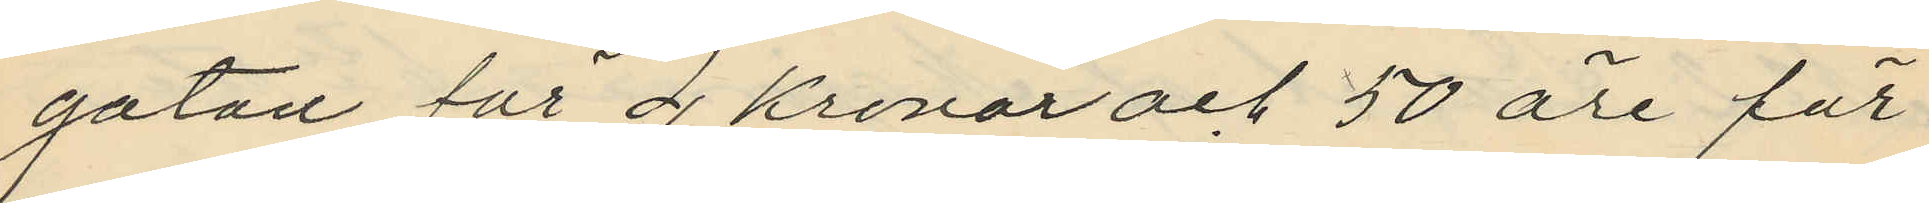gatan för 4 Kronor och 50 öre för
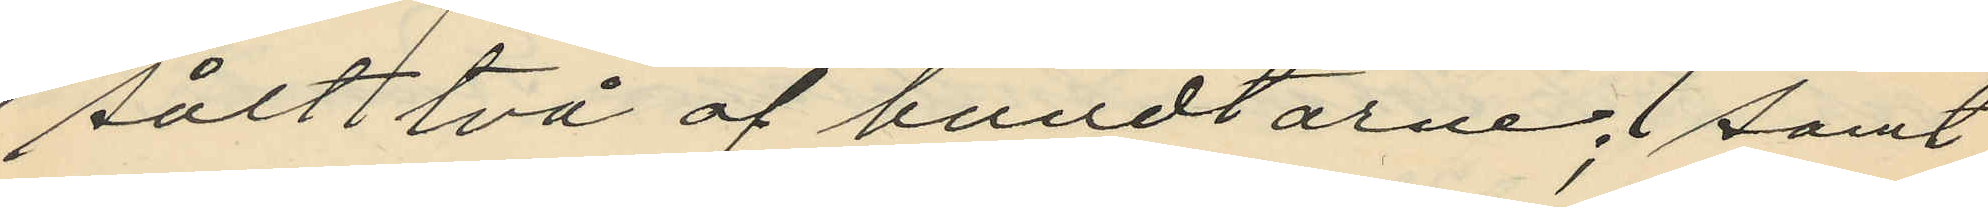sålt två af bundtarne; samt
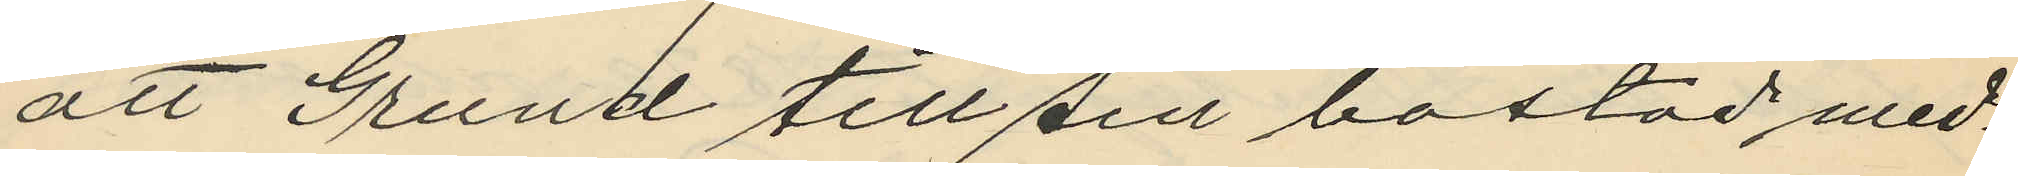att Grund till sin bostad med¬
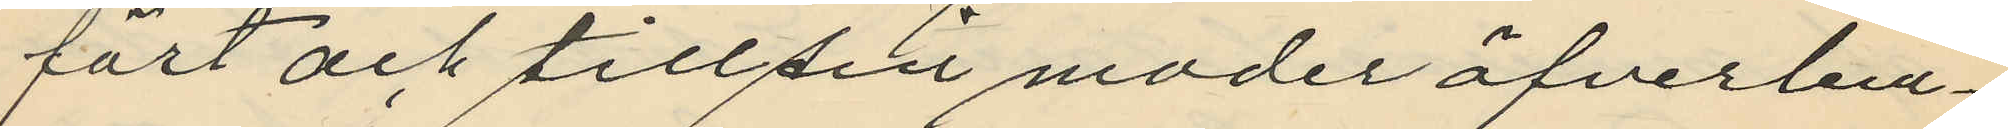fört och till sin moder öfverlem¬
